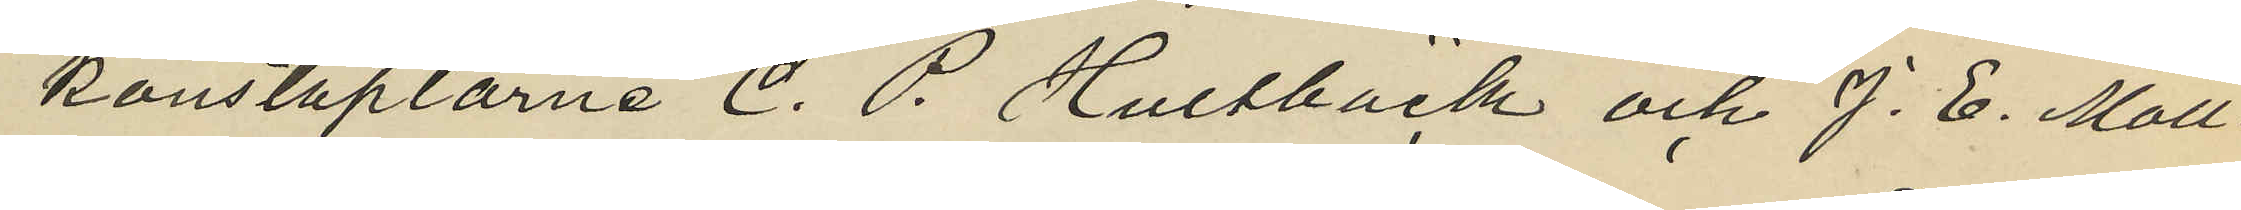konstaplarne C. P. Hultbäck och J. E. Moll¬
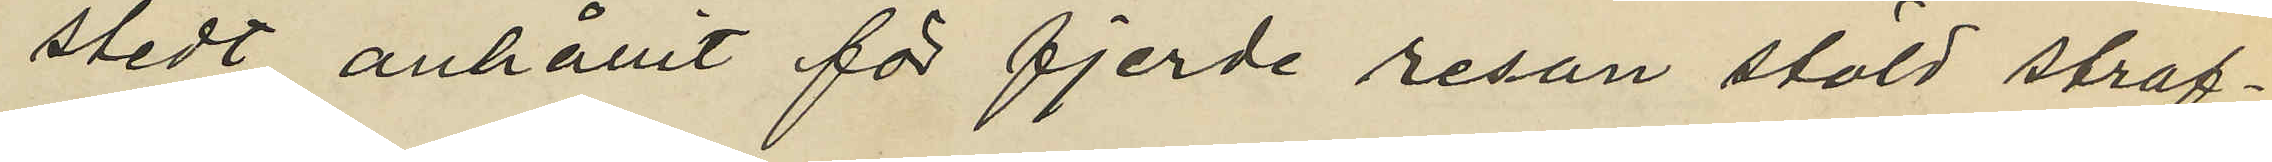stedt anhållit för fjerde resan stöld straf¬
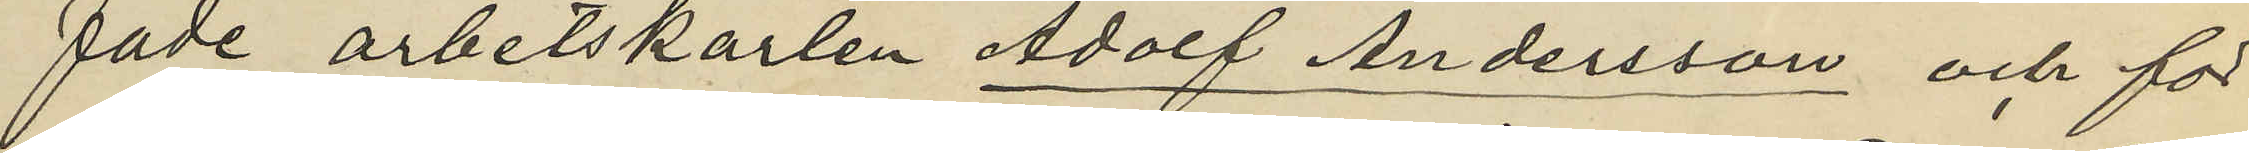fade arbetskarlen Adolf Andersson och för
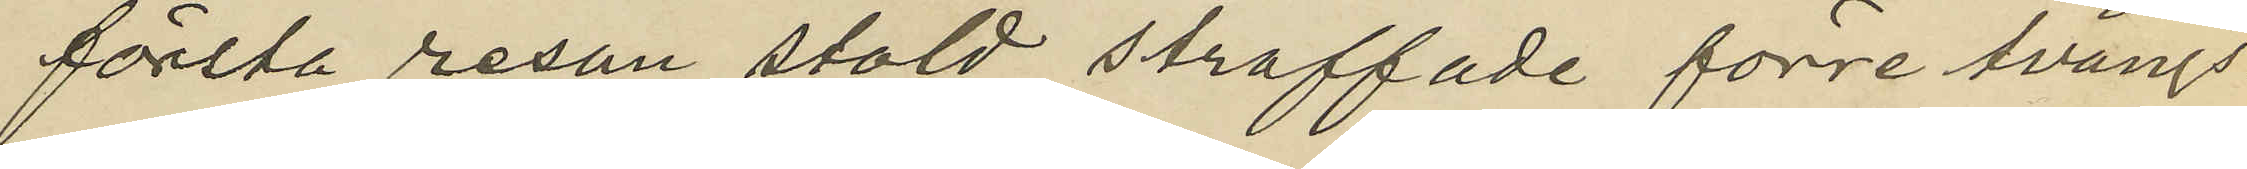första resan stöld straffade förre tvångs¬
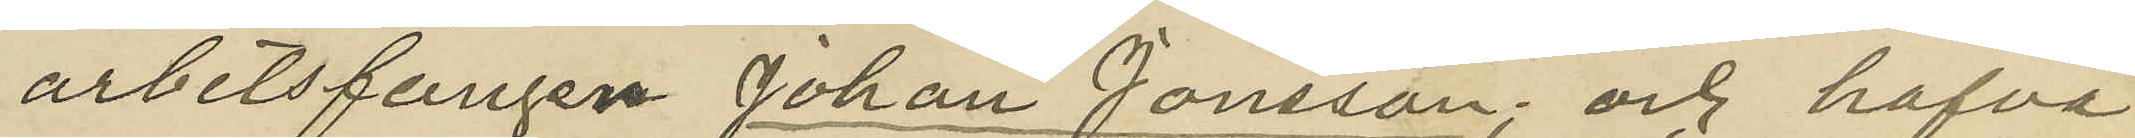arbetsfången Johan Jonsson; och hafva
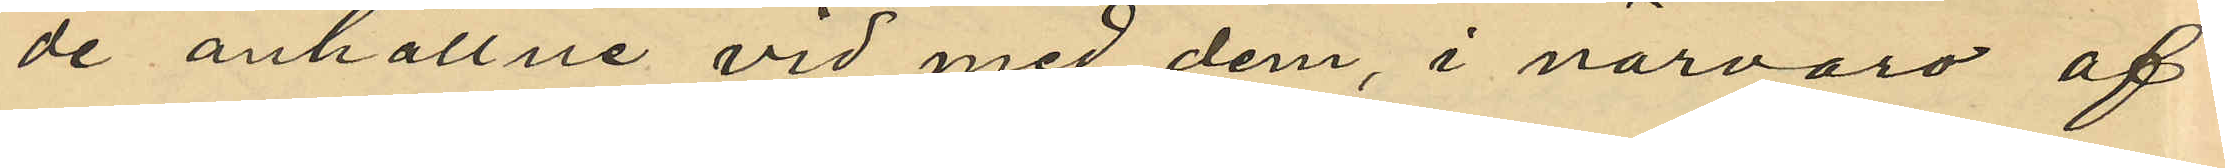de anhållne vid med dem, i närvaro af
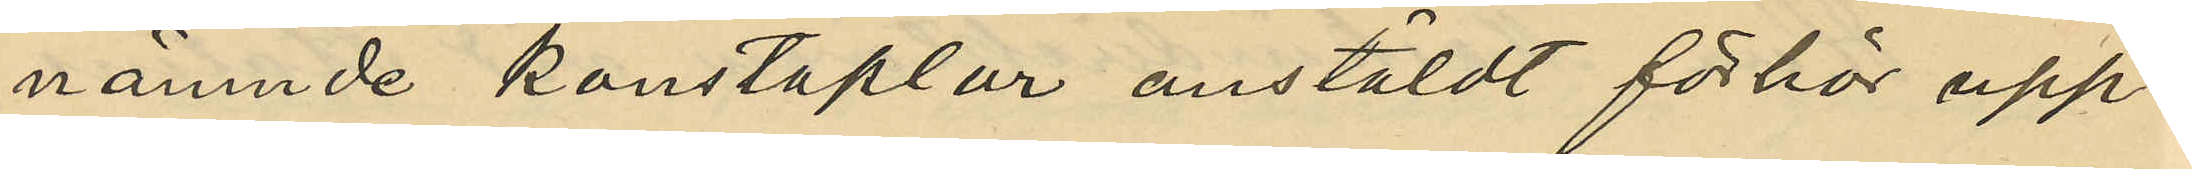nämnde konstaplar anstäldt förhör upp¬
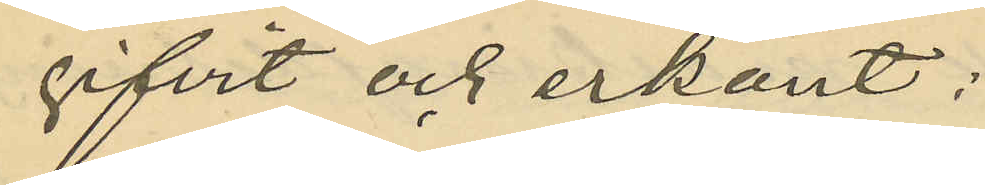gifvit och erkänt:
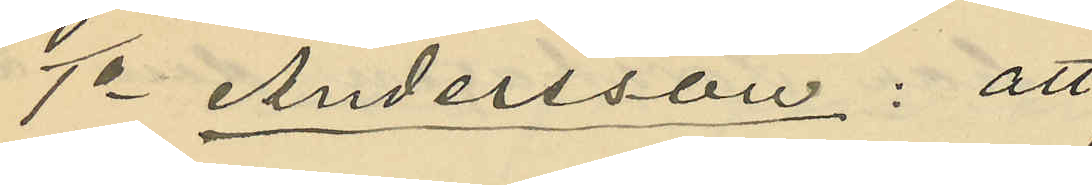1o Andersson: att
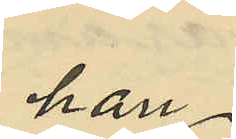han
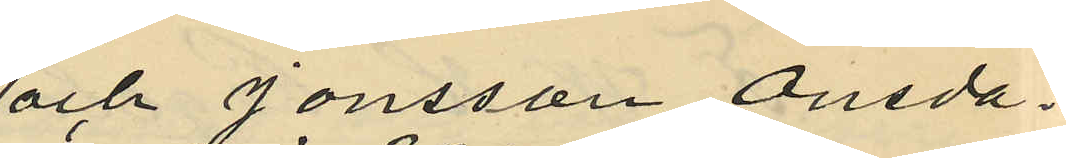och Jonsson Onsda¬
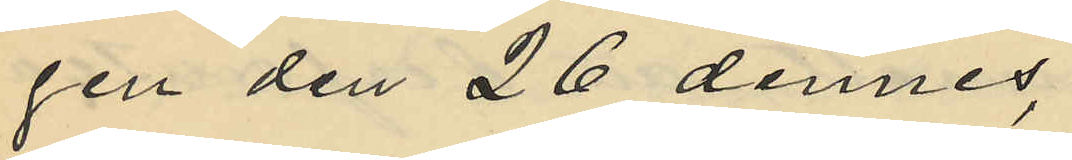gen den 26 dennes
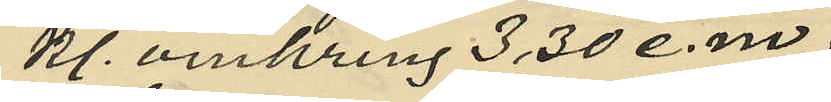kl. omkring 3,30 e.m.
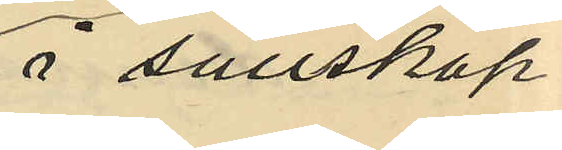i sällskap
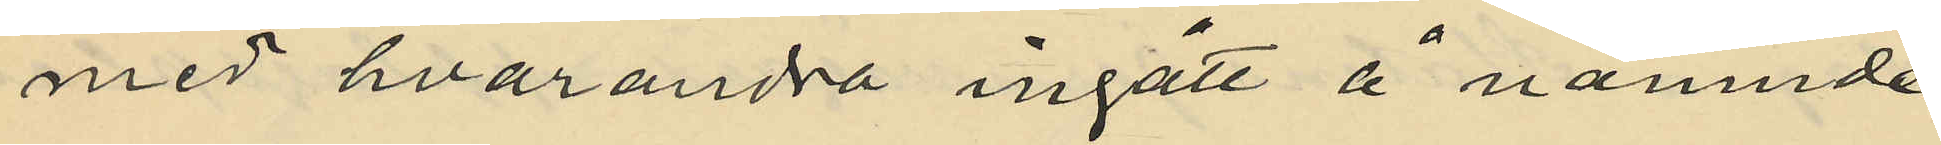med hvarandra ingått å nämnde
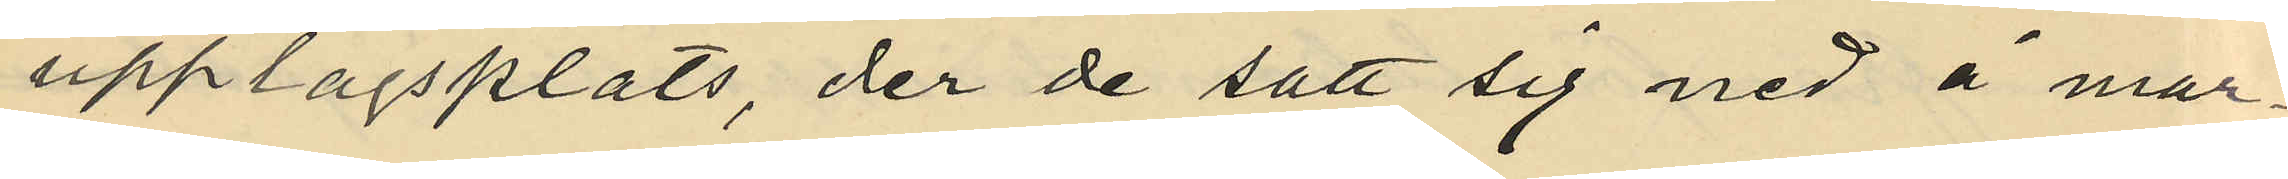upplagsplats, der de satt sig ned å mar¬
